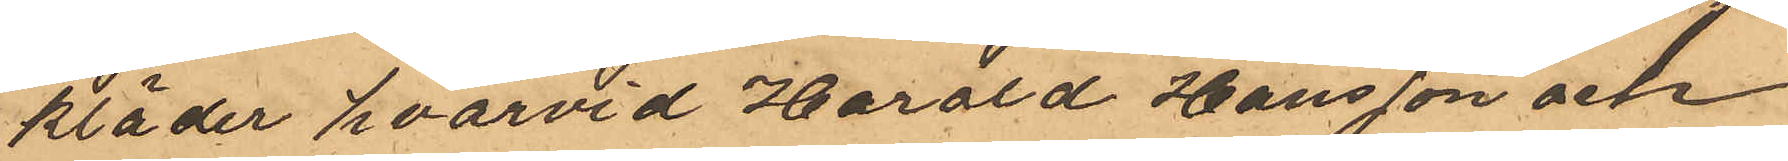kläder hvarvid Harald Hansson och
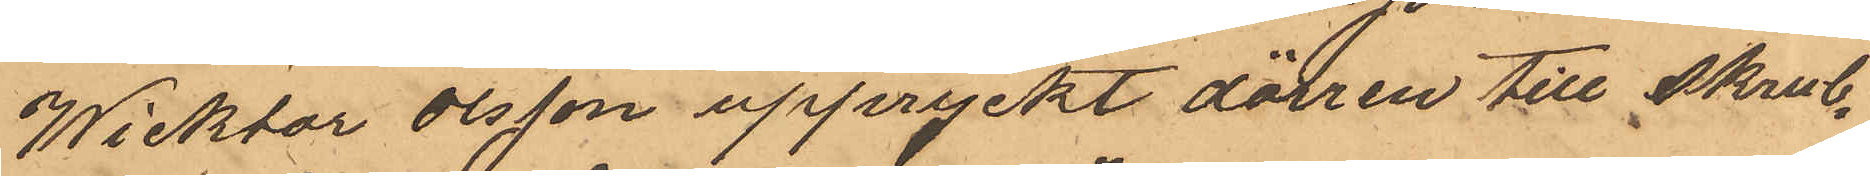Wicktor Olsson uppryckt dörren till skrub¬
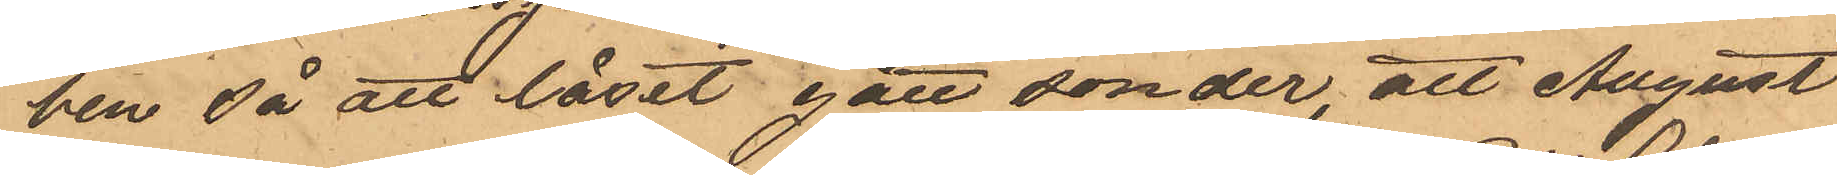ben så att låset gått sönder, att August
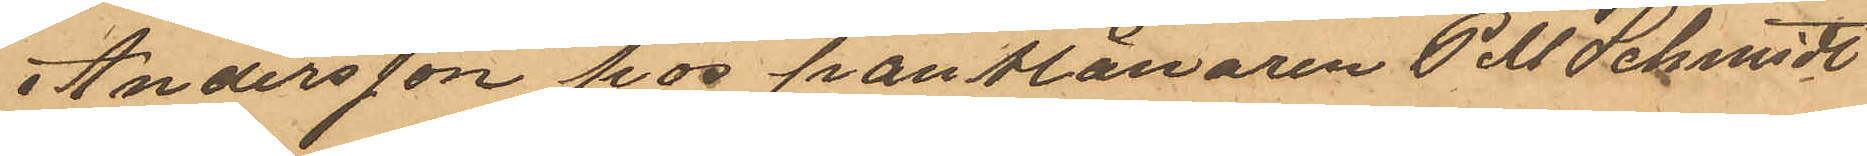Andersson hos pantlånaren P M Schmidt
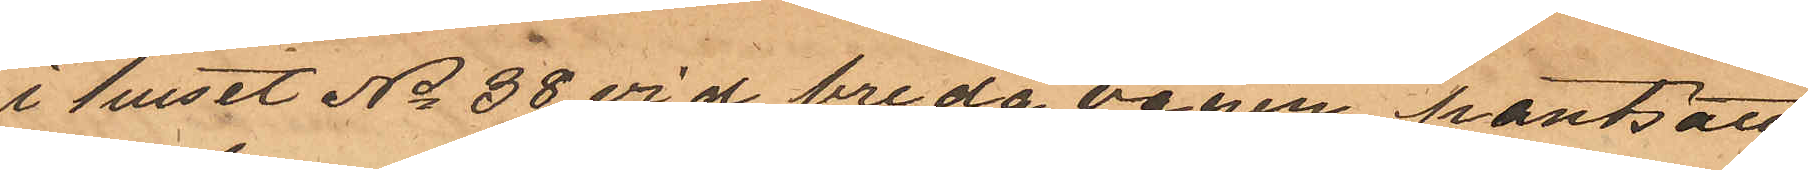i huset No 38 vid breda vägen pantsatt
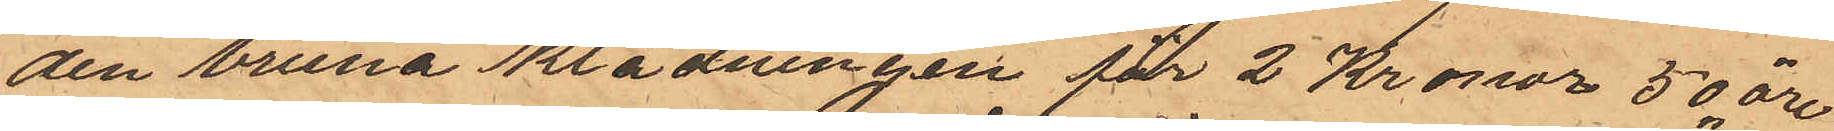den bruna klädningen för 2 Kronor 50 öre
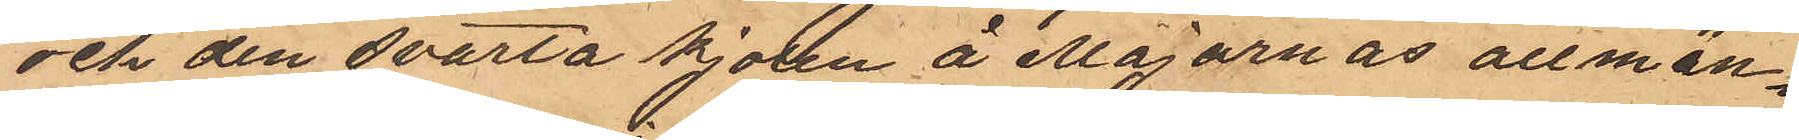och den svarta kjolen å Majornas allmän¬
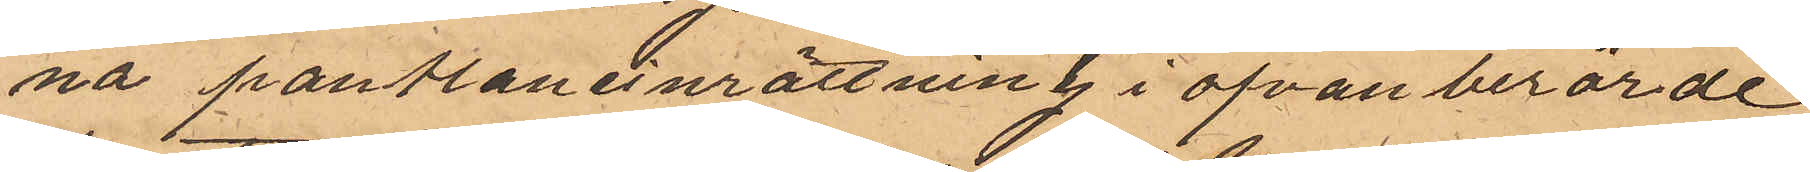na pantlåneinrättning i ofvan berörde
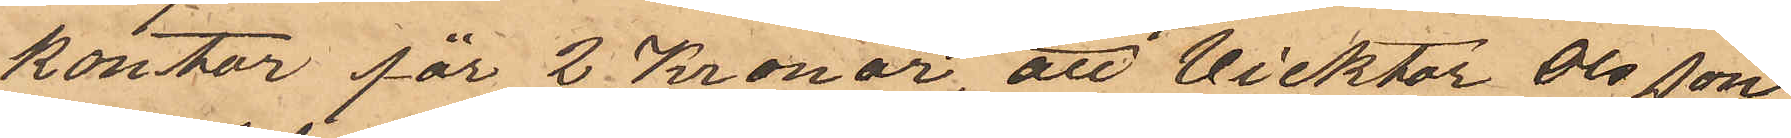kontor för 2 Kronor, att Vicktor Olsson
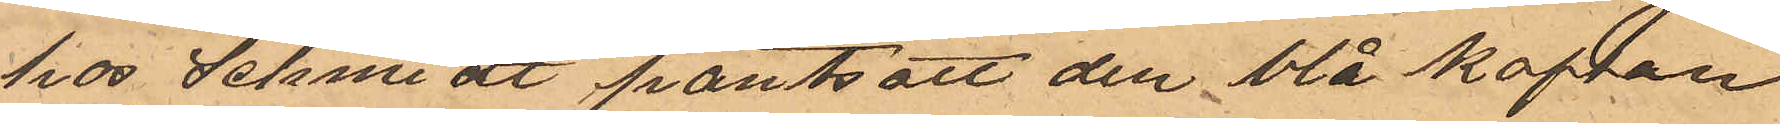hos Schmidt pantsatt den blå koftan
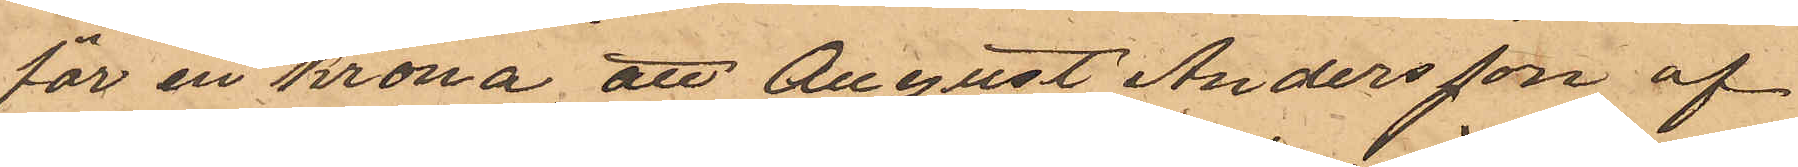för en krona, att August Andersson af
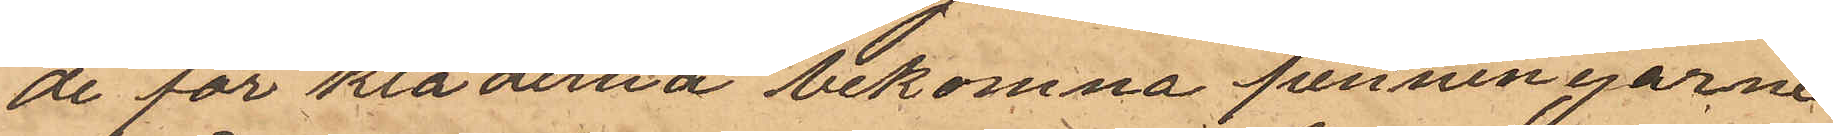de för kläderna bekomna penningarne
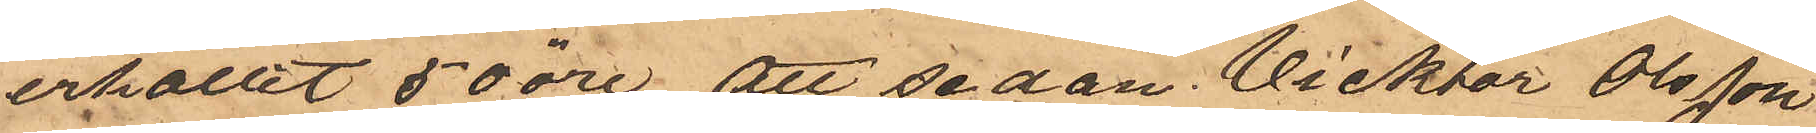erhållit 50 öre, att sedan Vicktor Olsson
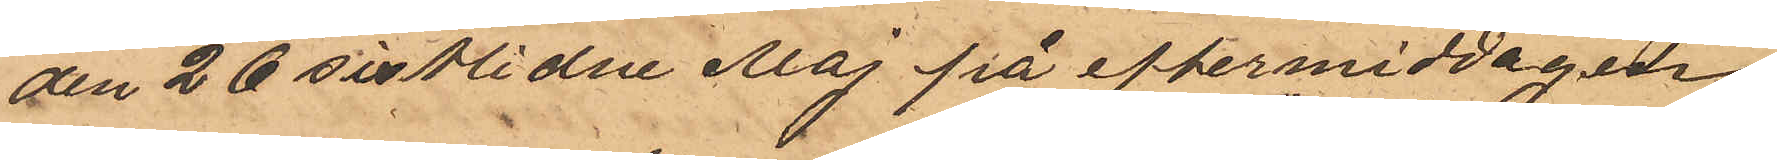den 26 sistlidne Maj på eftermiddagen
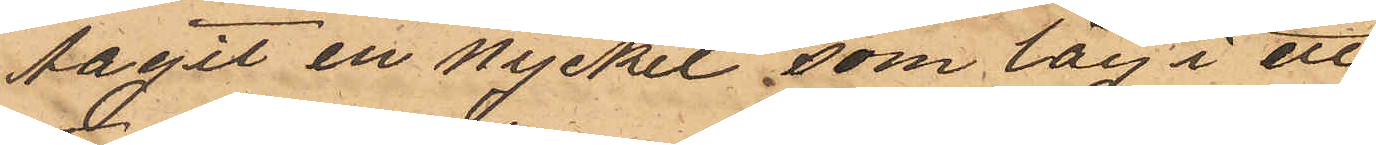tagit en nyckel som låg i ett
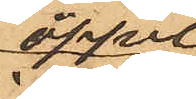öppet
